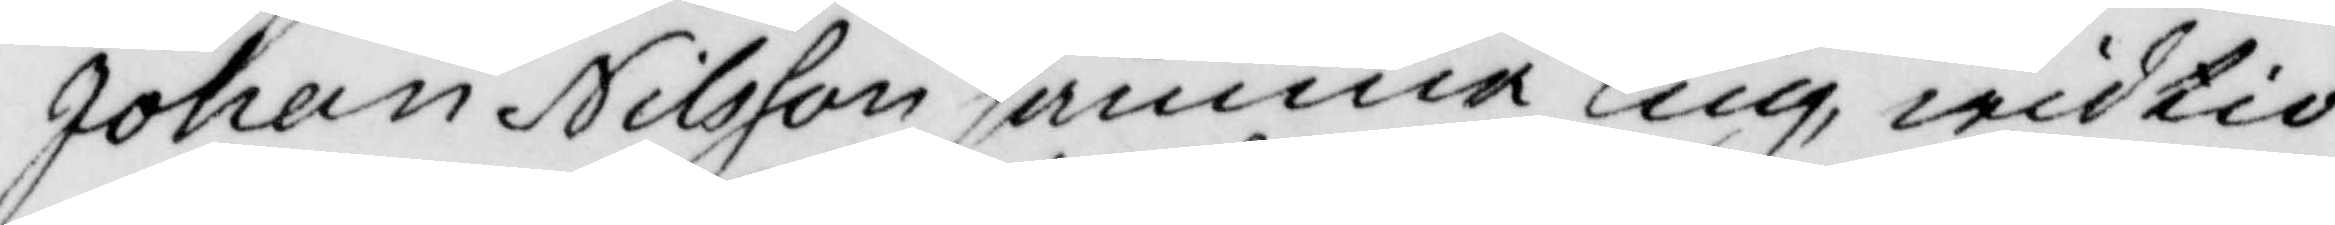Johan Nilsson samma Ting, wid tio
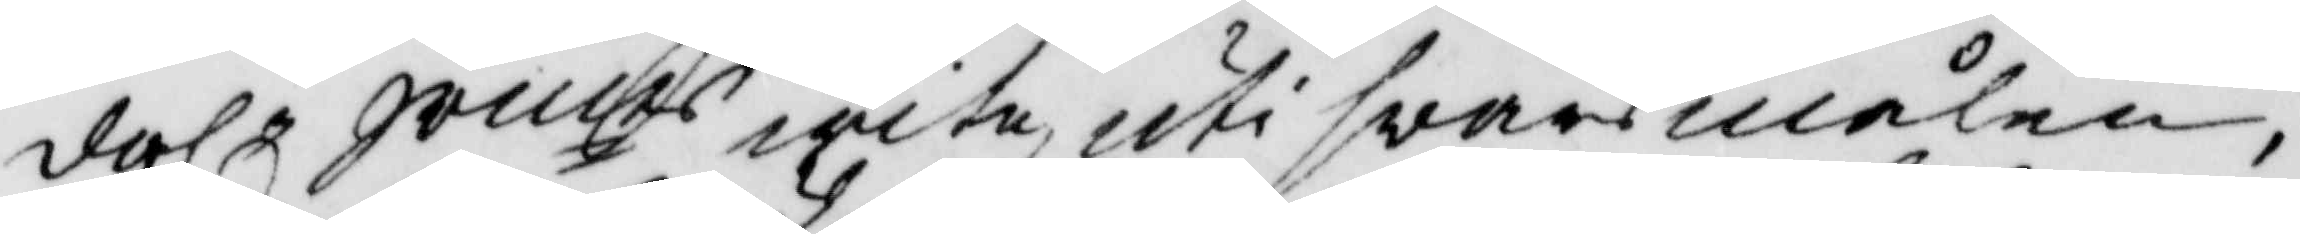dahl.r Smts wite, uti svarsmålen,
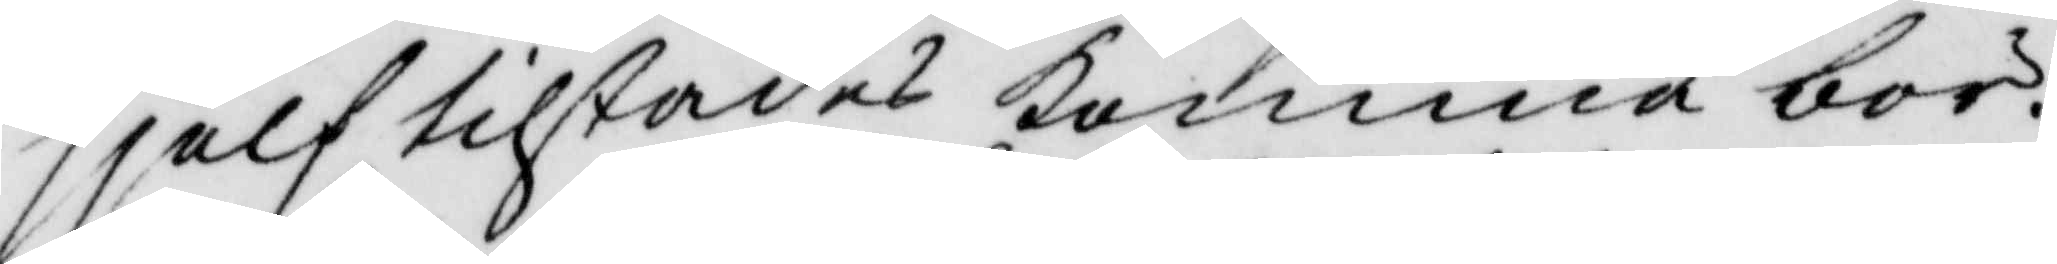sjelf tilstädes komma bör.
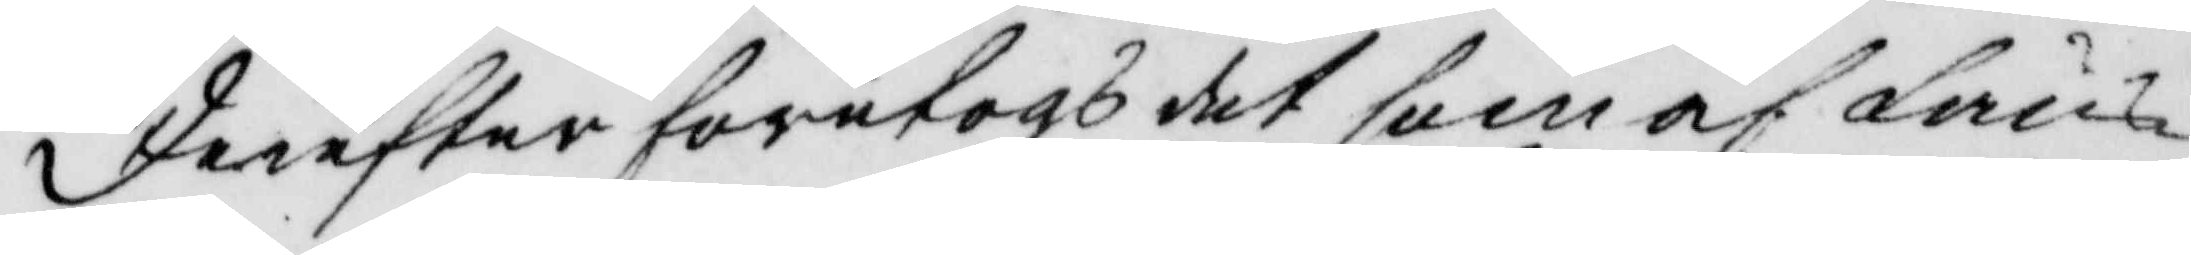derefter företogs det som af Läns¬
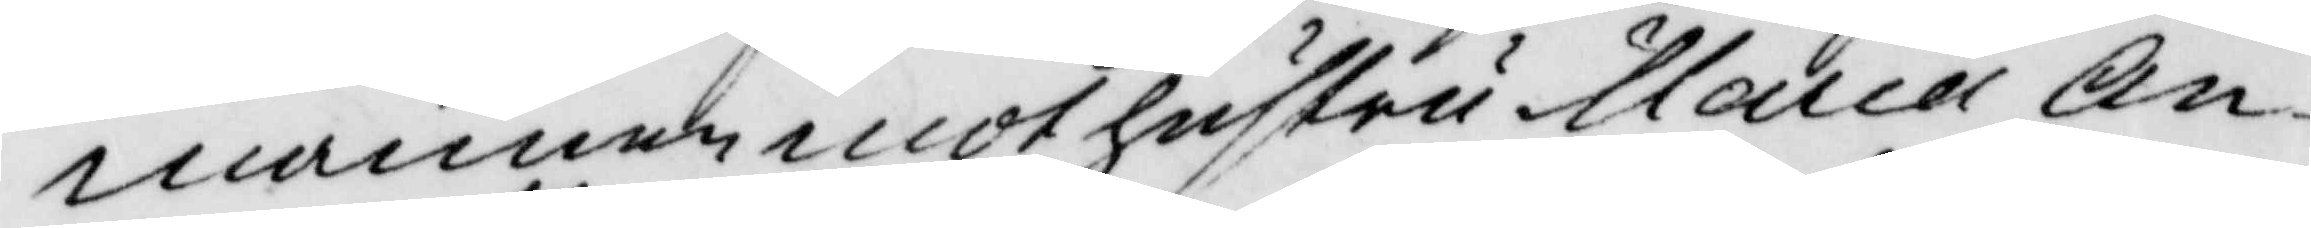mannen mot hustru Maria An¬
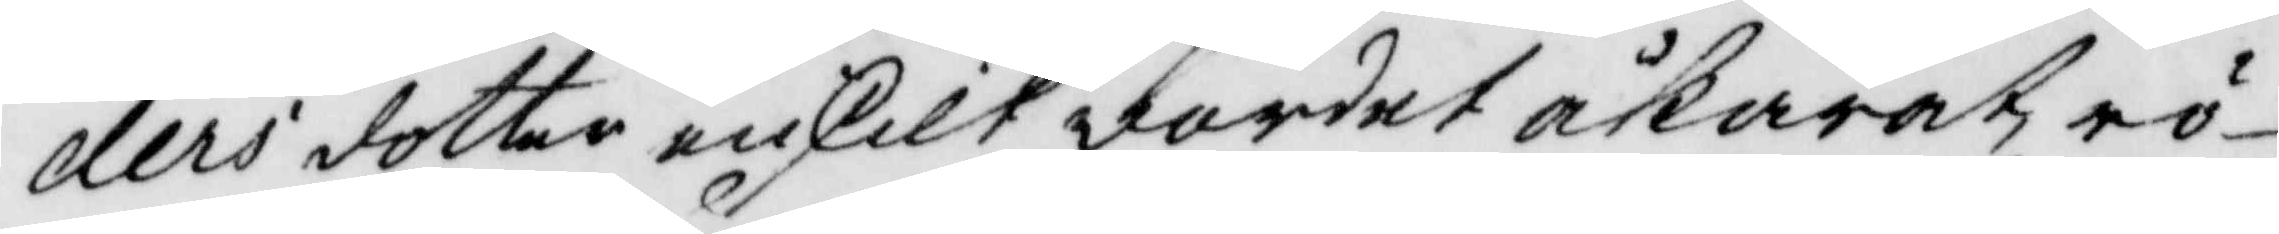ders dotter enskilt vardet åkärat rö¬
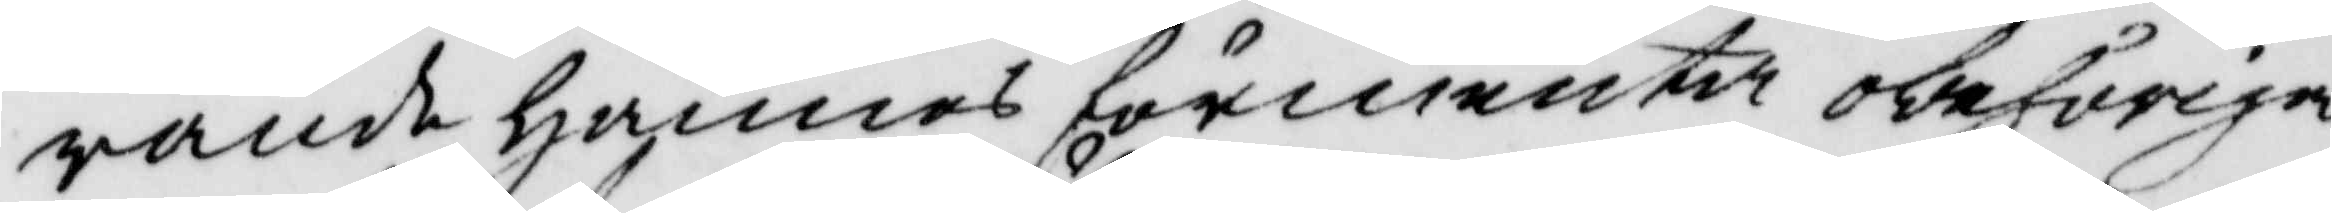rande hännes förmenta obehöriga
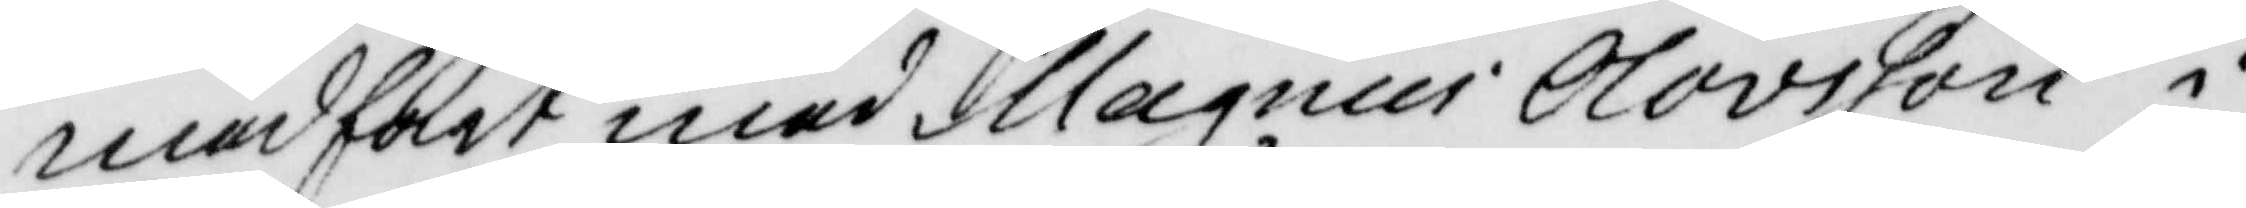medfart med Magnus Olovsson i
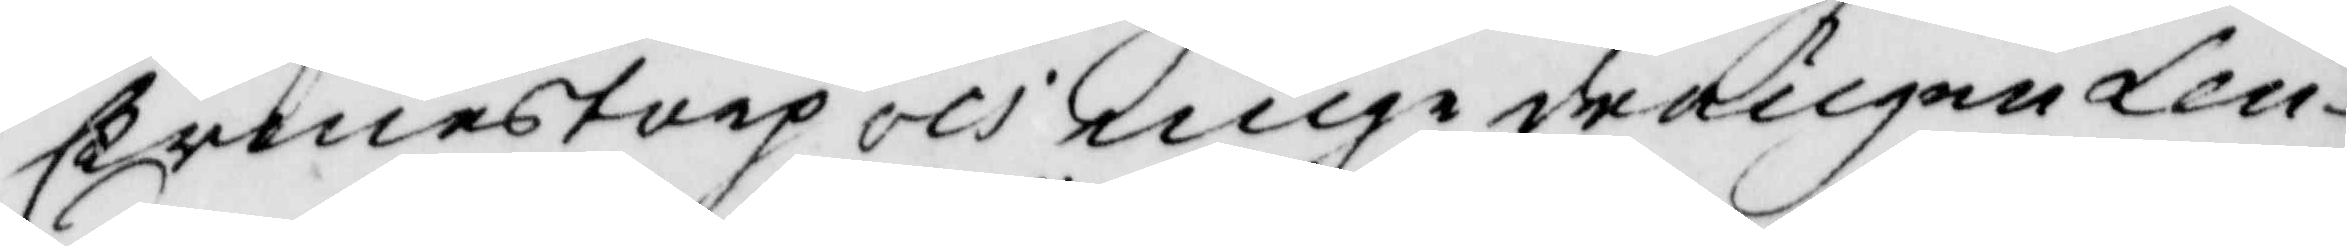Ermenstorp och unga drängen Len¬
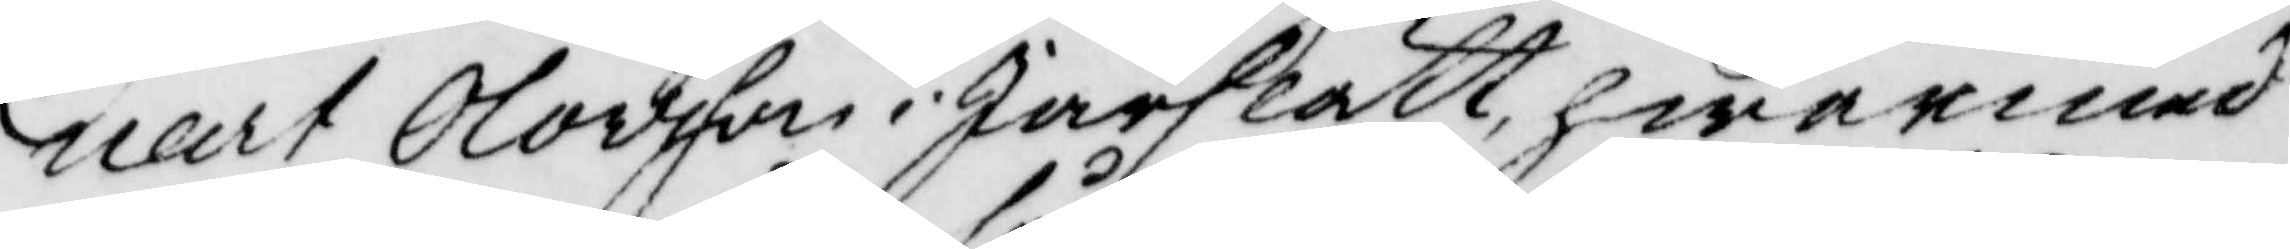nart olovsson i Järslätt hwarmed
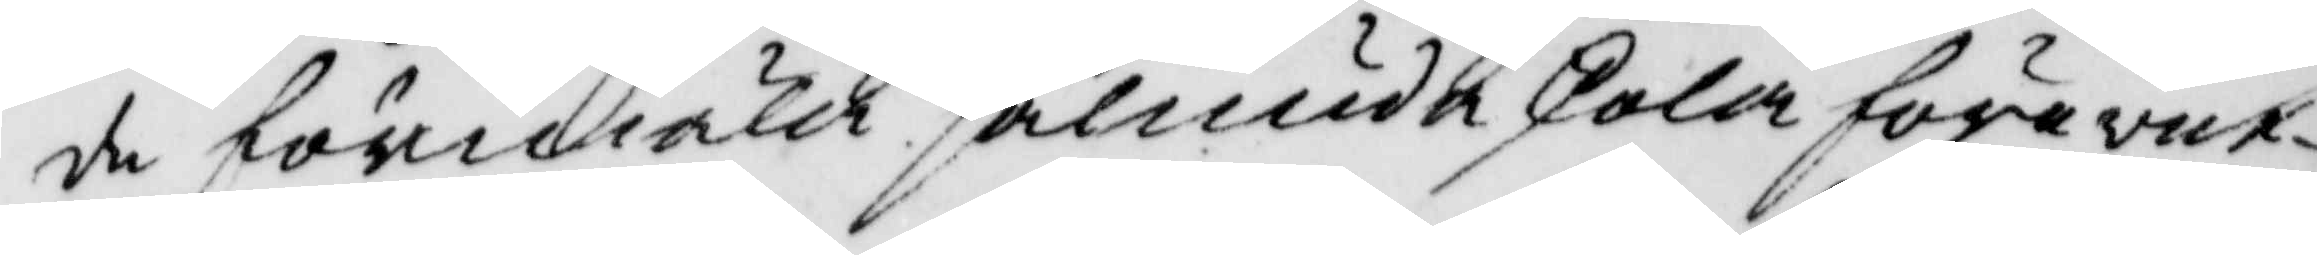de förmäla sålunda skola förevet¬ 
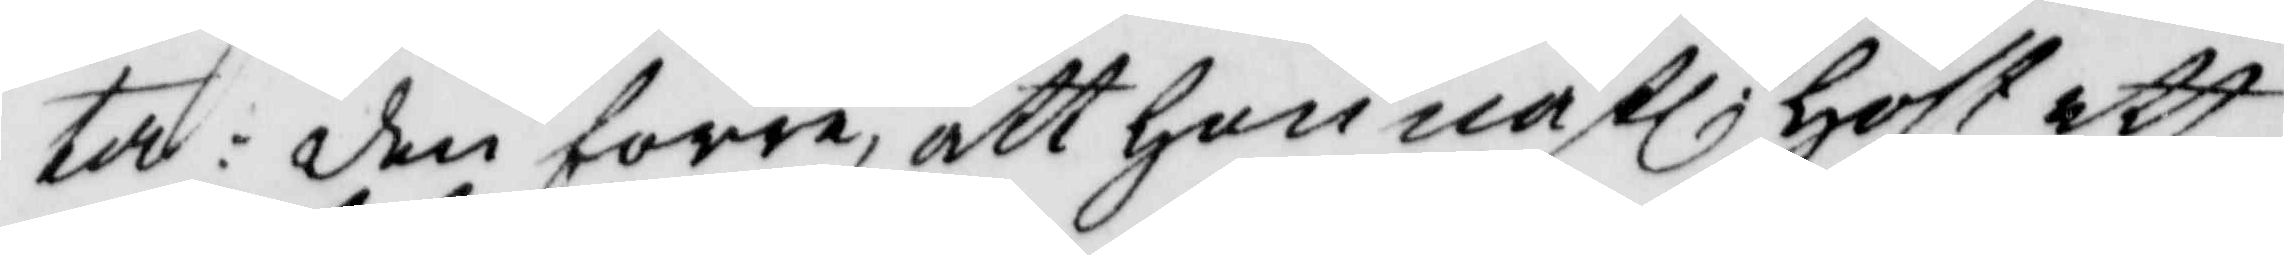ta: den förre, att han nästl. höst ett
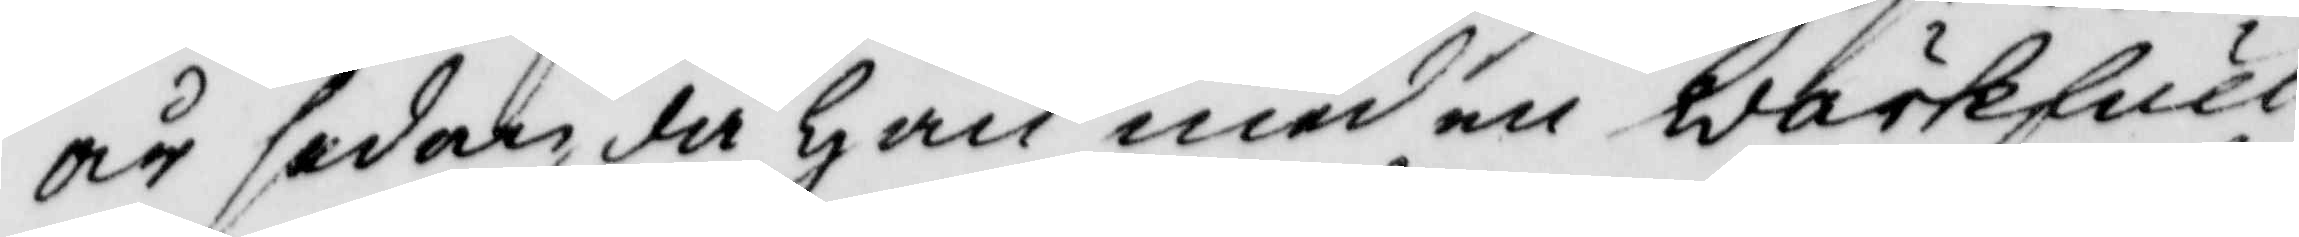år sedan, då han med en wärkfull
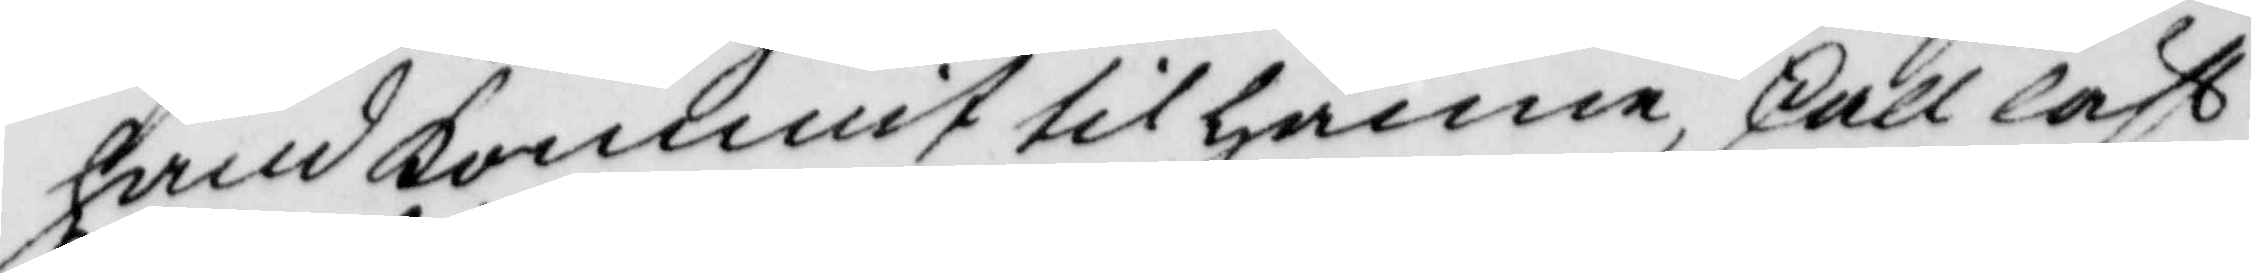hand kommit till hänne skall läst
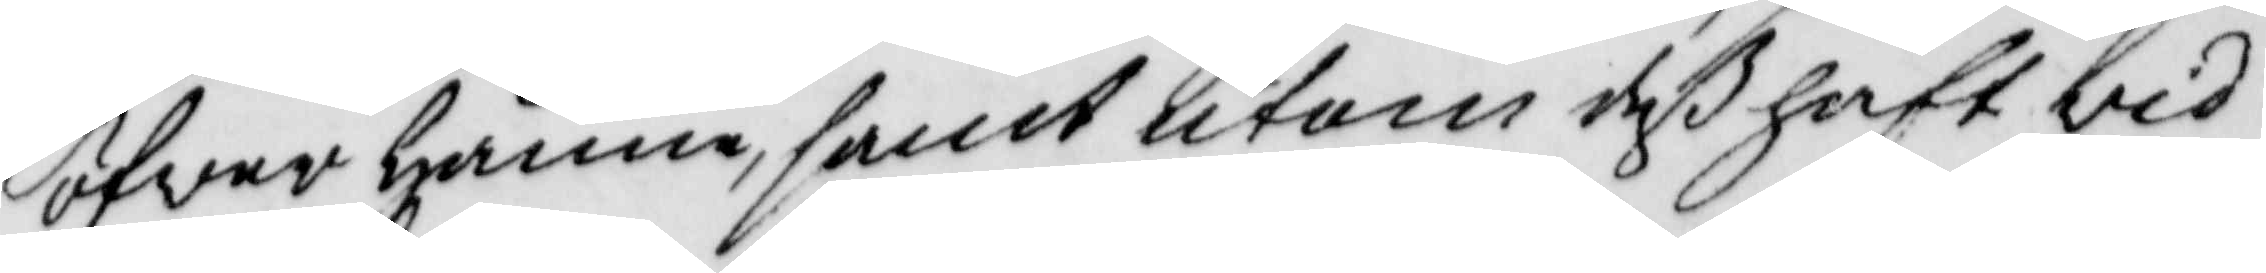öfwer hänne, samt utom deß haft vid
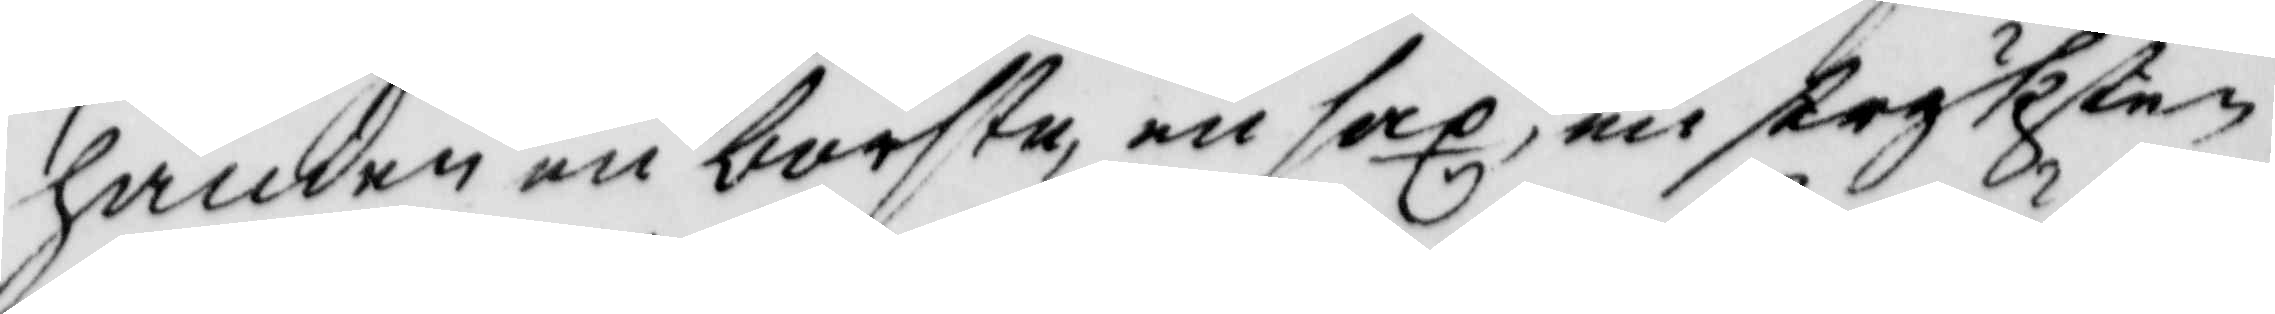handen en borste, en sax, en stryksten
